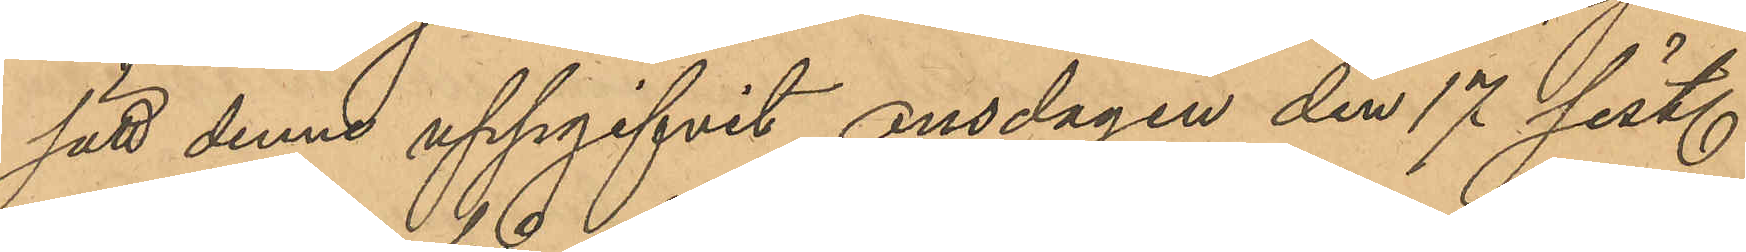sätt denne uppgifvit, onsdagen den 17 sist.
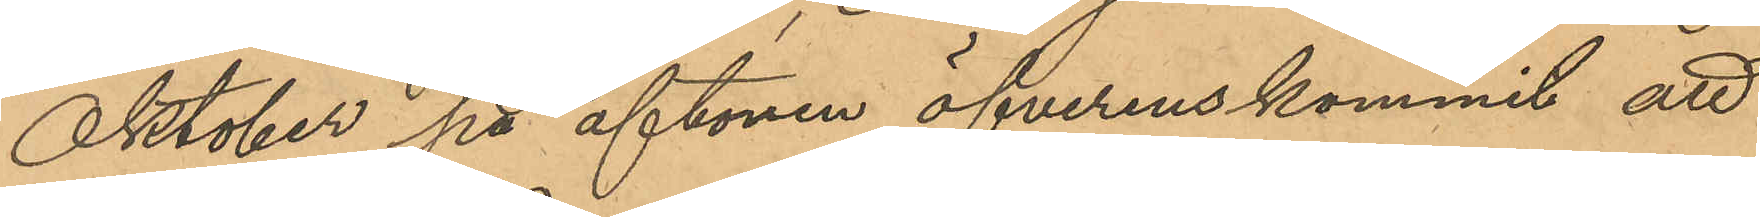Oktober på aftonen öfverenskommit att
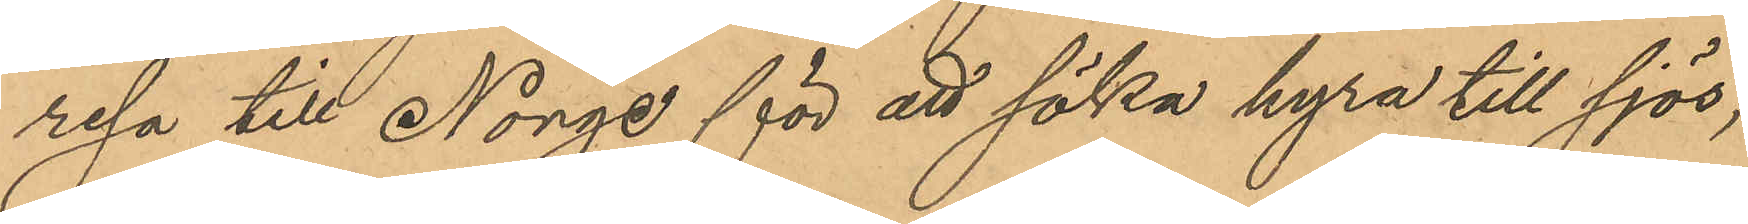resa till Norge för att söka hyra till sjös;
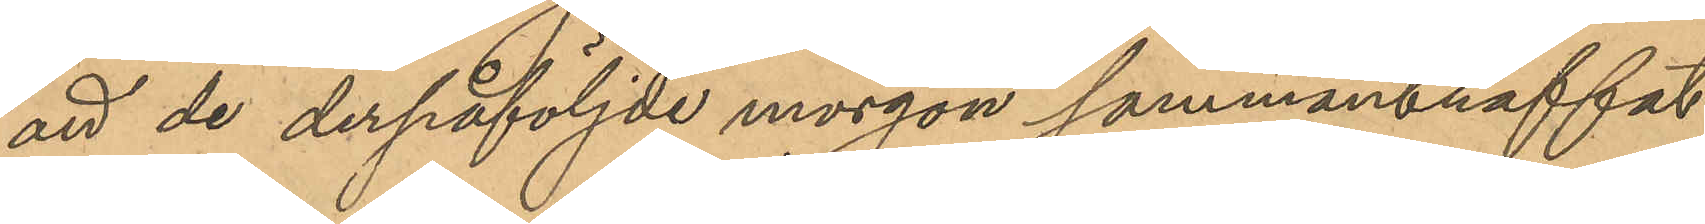att de derpåföljde morgon sammanträffat
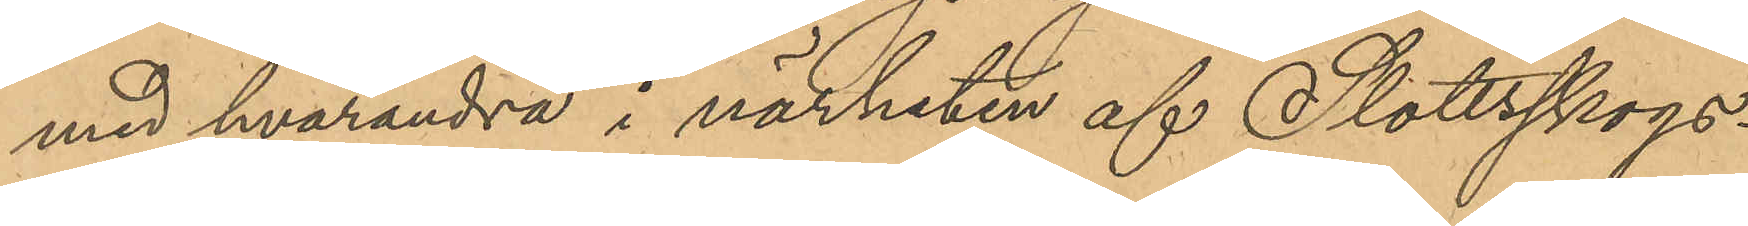med hvarandra i närheten af Slottsskogs¬
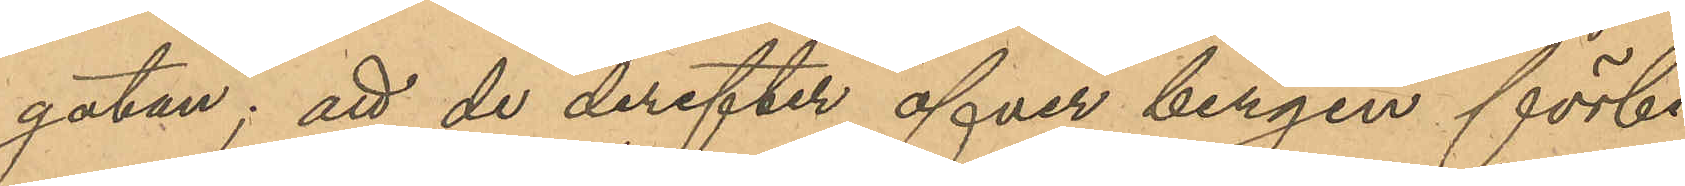gatan; att de derefter öfver bergen förbi
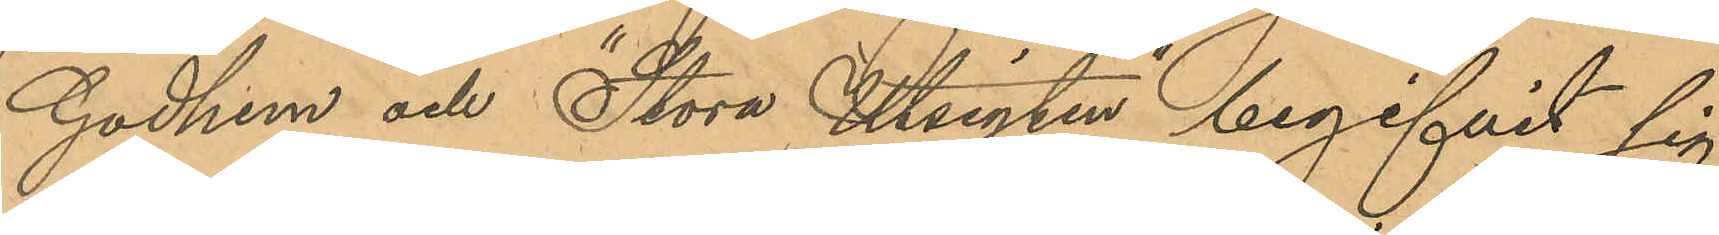Godhem och "Stora Utsigten" begifvit sig
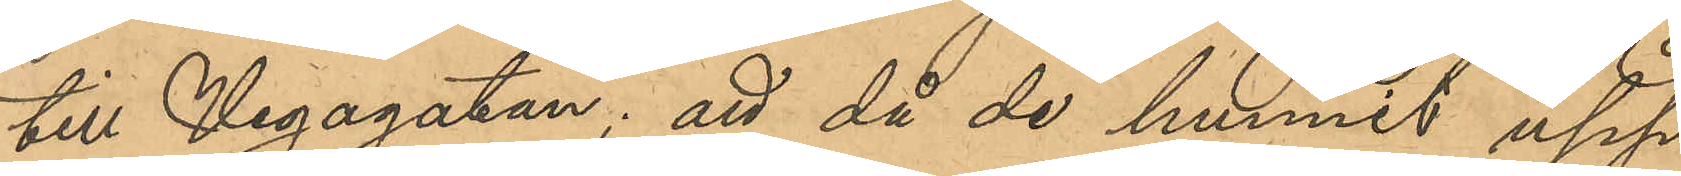till Vegagatan; att då de hunnit upp
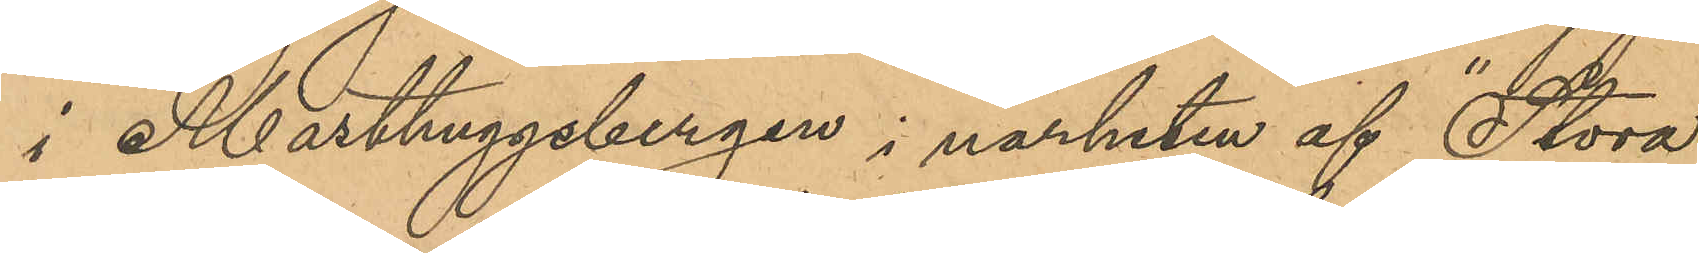i Masthuggsbergen i närheten af "Stora
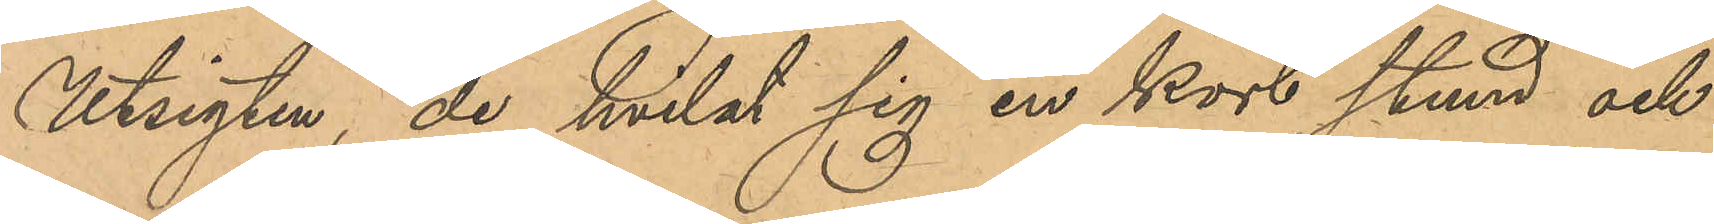Utsigten, de hvilat sig en kort stund och
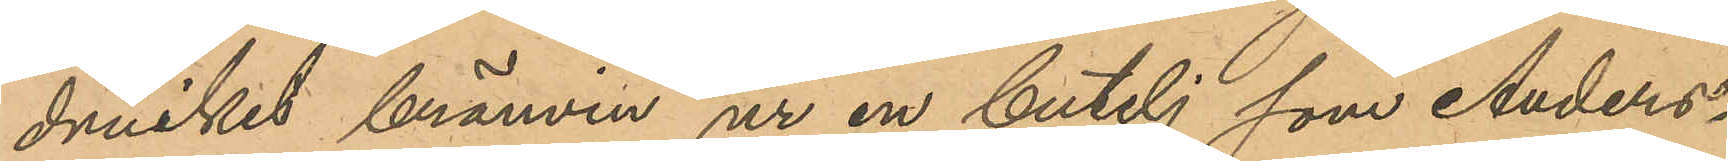druckit bränvin ur en butelj som Anders¬
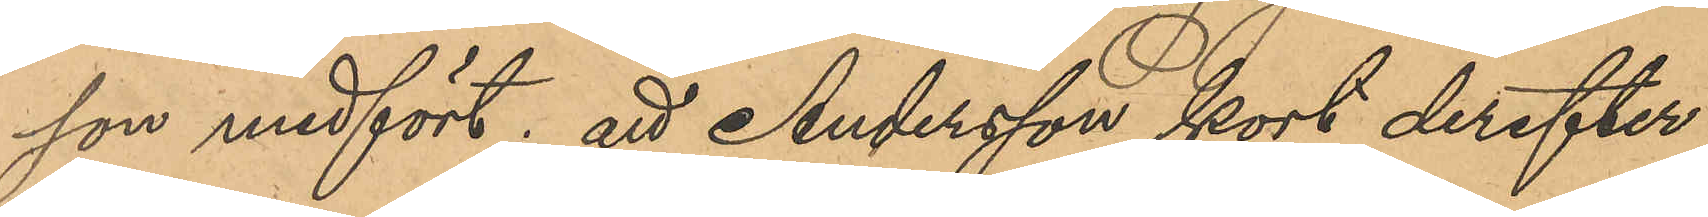son medfört; att Andersson kort derefter
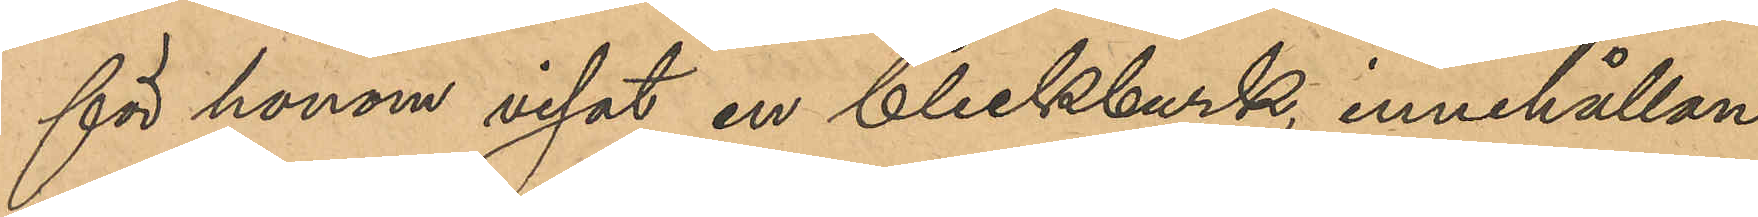för honom visat en bleckburk, innehållan¬
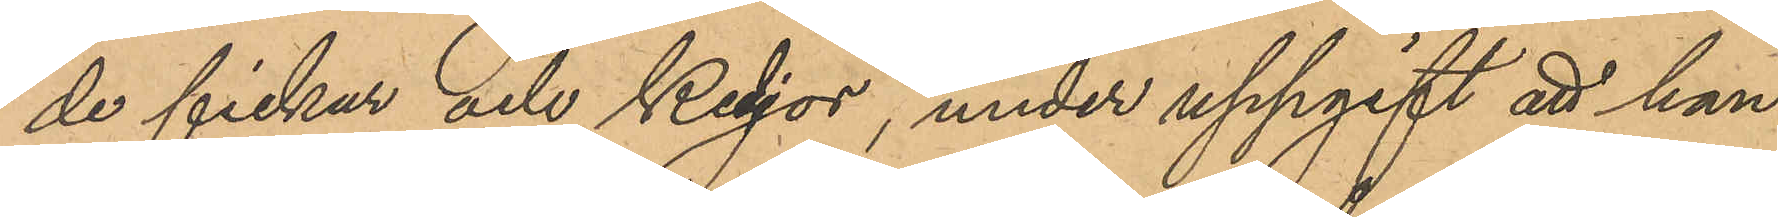de fickur och kedjor, under uppgift att han
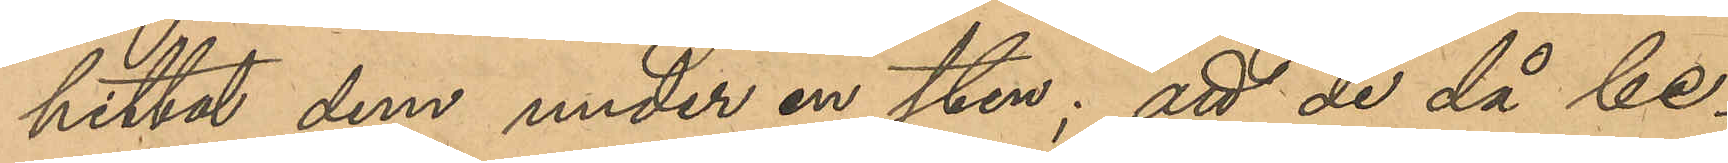hittat dem under en sten; att de då be¬
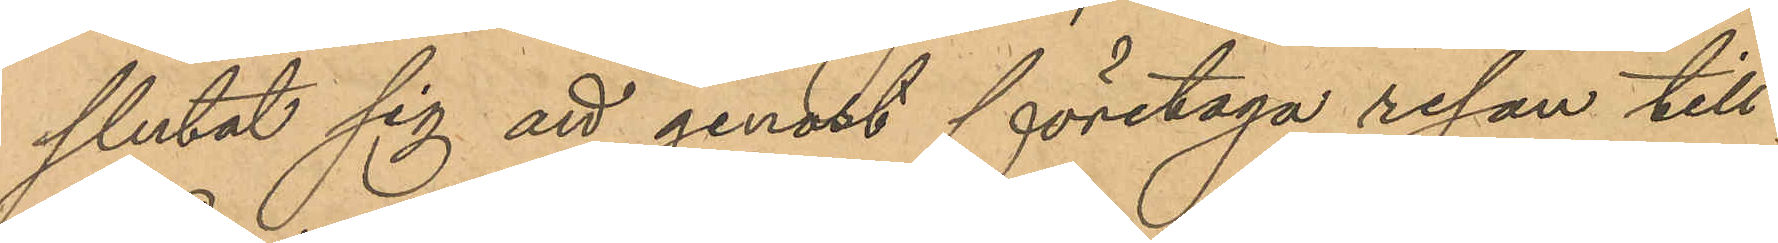slutat sig att genast företaga resan till
